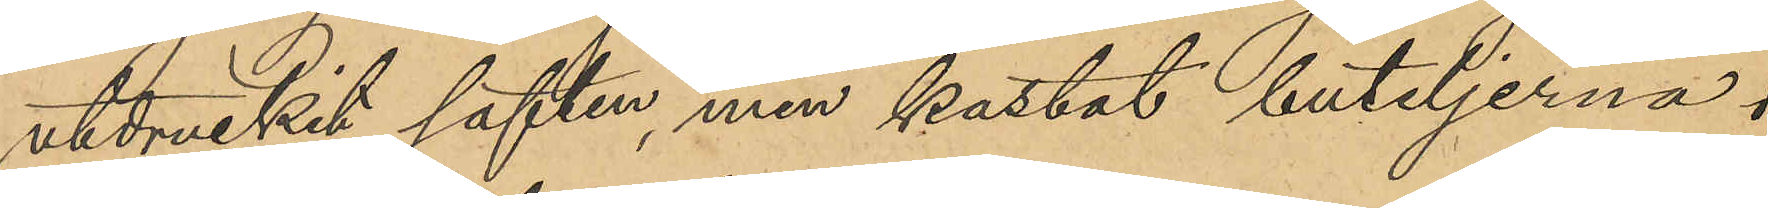utdruckit saften, men kastat buteljerna i
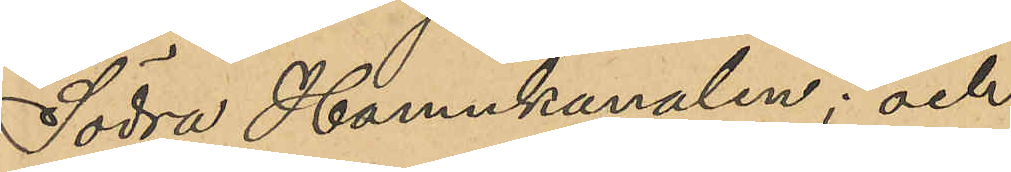Södra Hamnkanalen; och
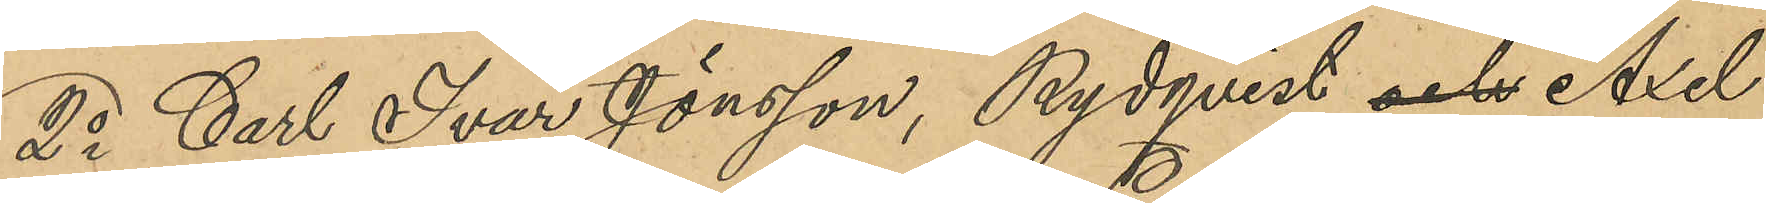2o Carl Ivar Jönsson, Rydqvist, och Axel
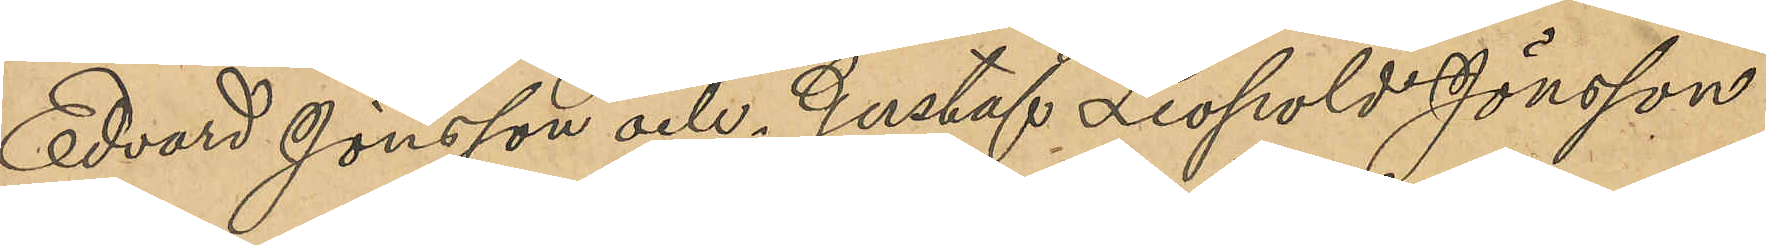Edvard Jönsson och Gustaf Leopold Jönsson
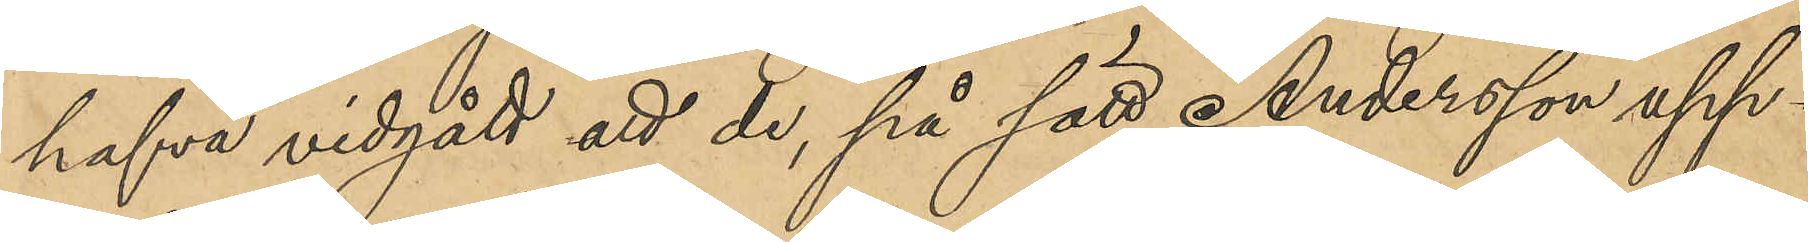hafva vidgått att de, på sätt Andersson upp¬
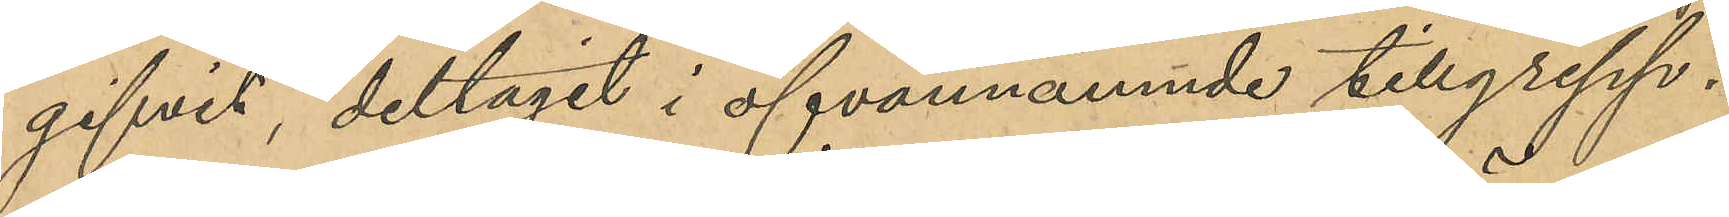gifvit, deltagit i ofvannämnde tillgrepp.
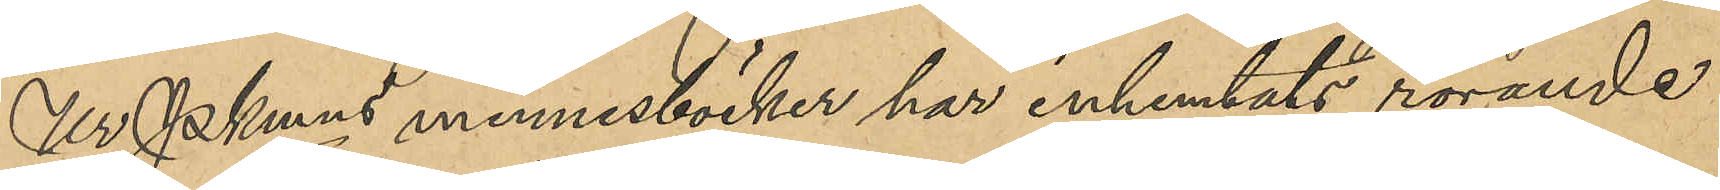Ur Pkmns minnesböcker har inhemtats rörande
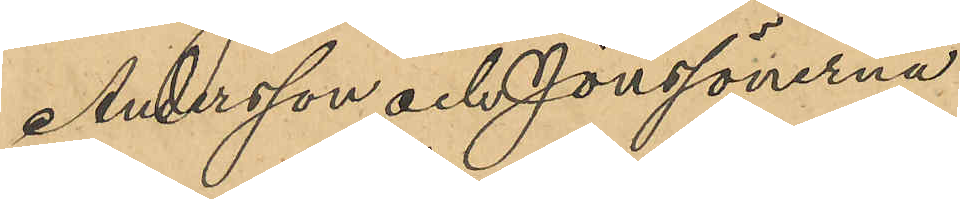Andersson och Jönssönerna:
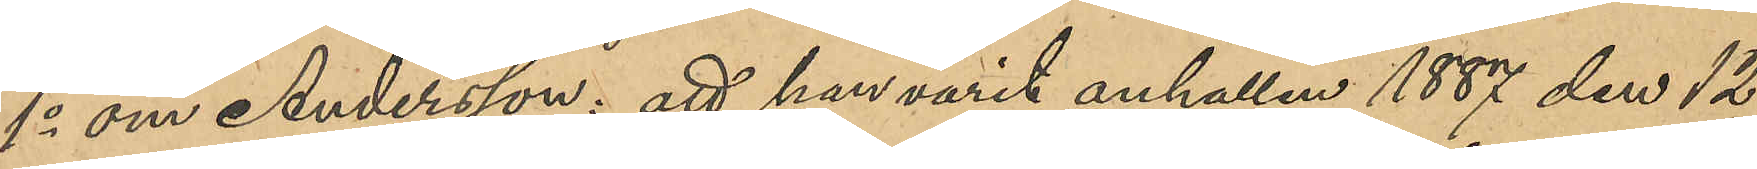1o om Andersson: att han varit anhållen 1887 den 12
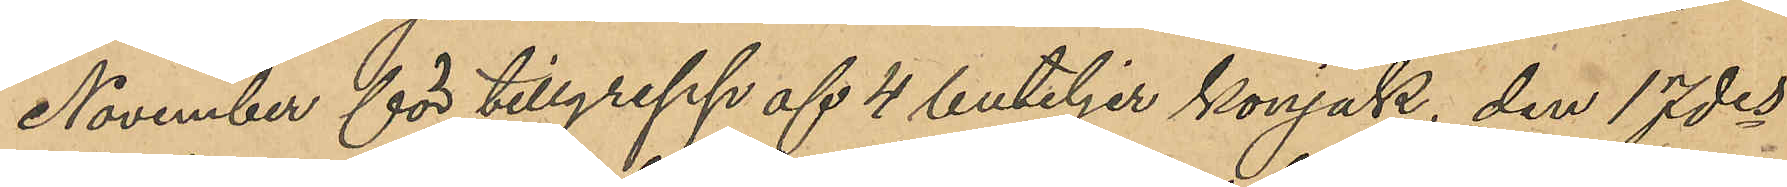November för tillgrepp af 4 buteljer konjak, den 17des
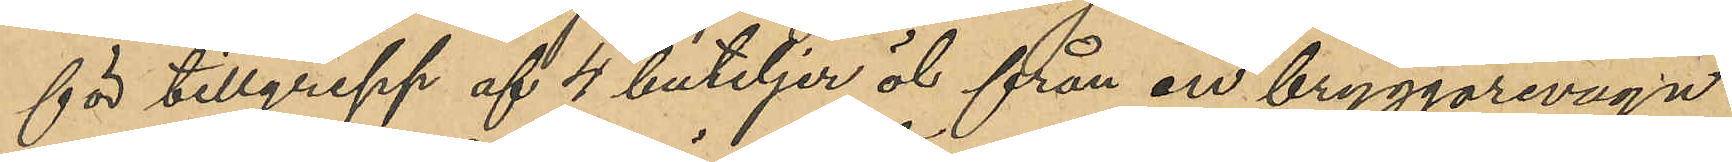för tillgrepp af 4 buteljer öl från en bryggarevagn
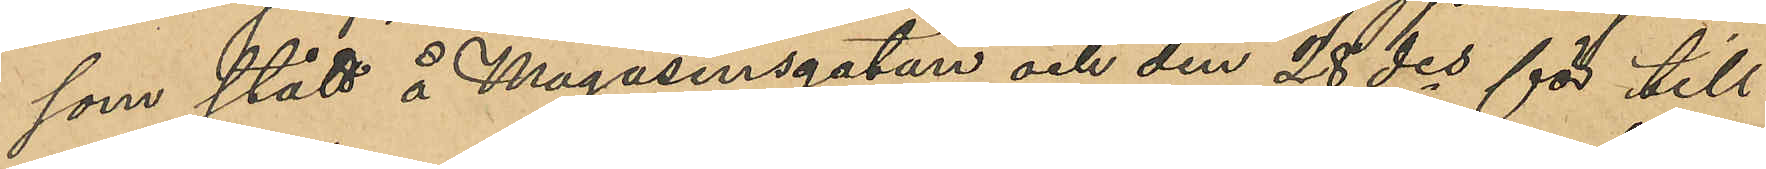som stått å Magasinsgatan och den 28 des för till¬
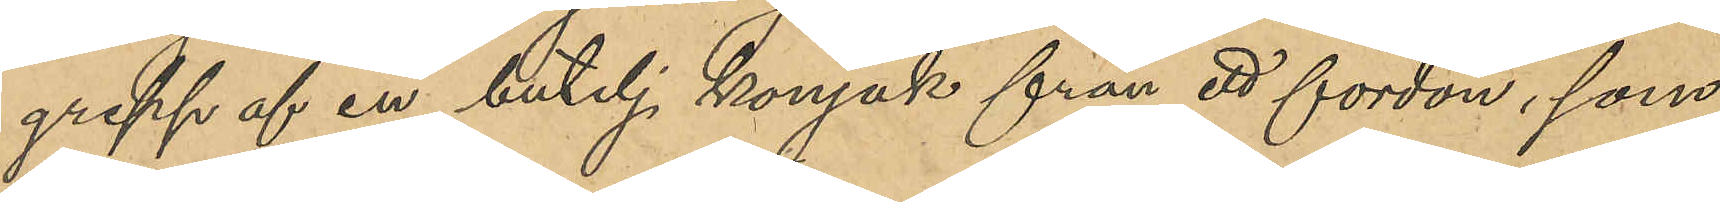grepp af en butelj konjak från ett fordon, som
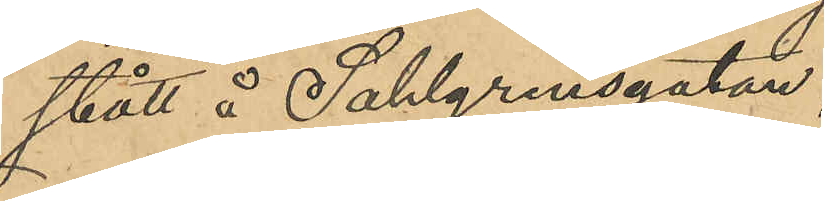stått å  Sahlgrensgatan;
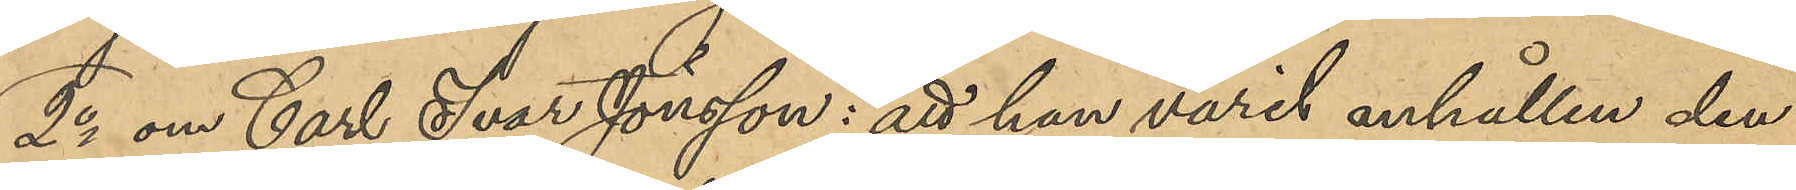2o om Carl Ivar Jönsson: att han varit anhållen den
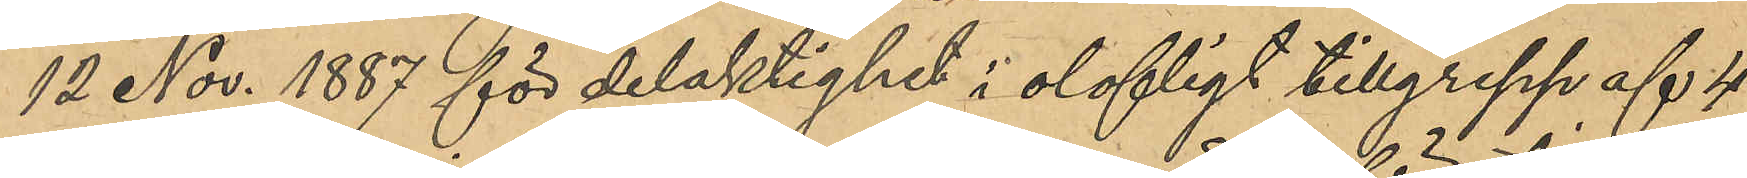12 Nov. 1857 för delaktighet i olofligt tillgrepp af 4
